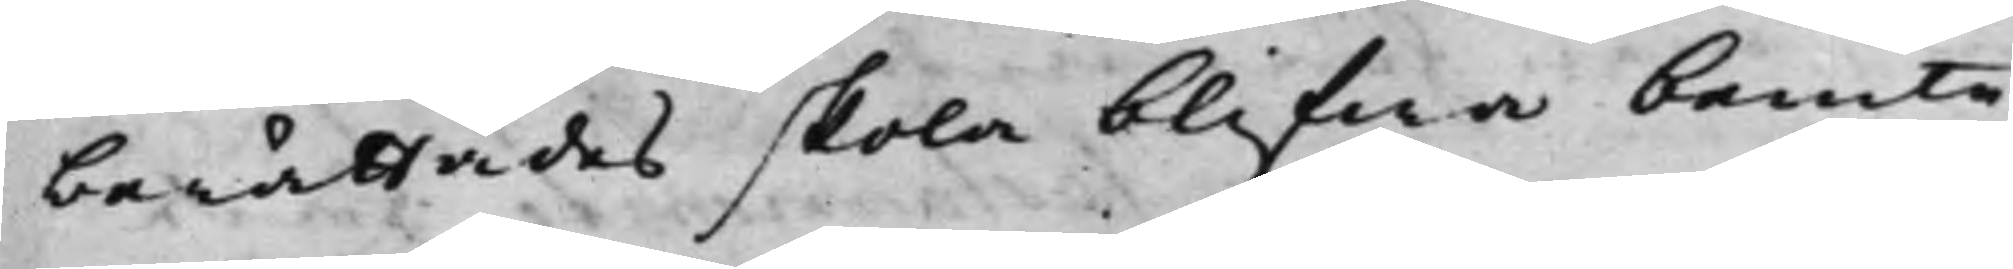berättades skola blifwa bemte
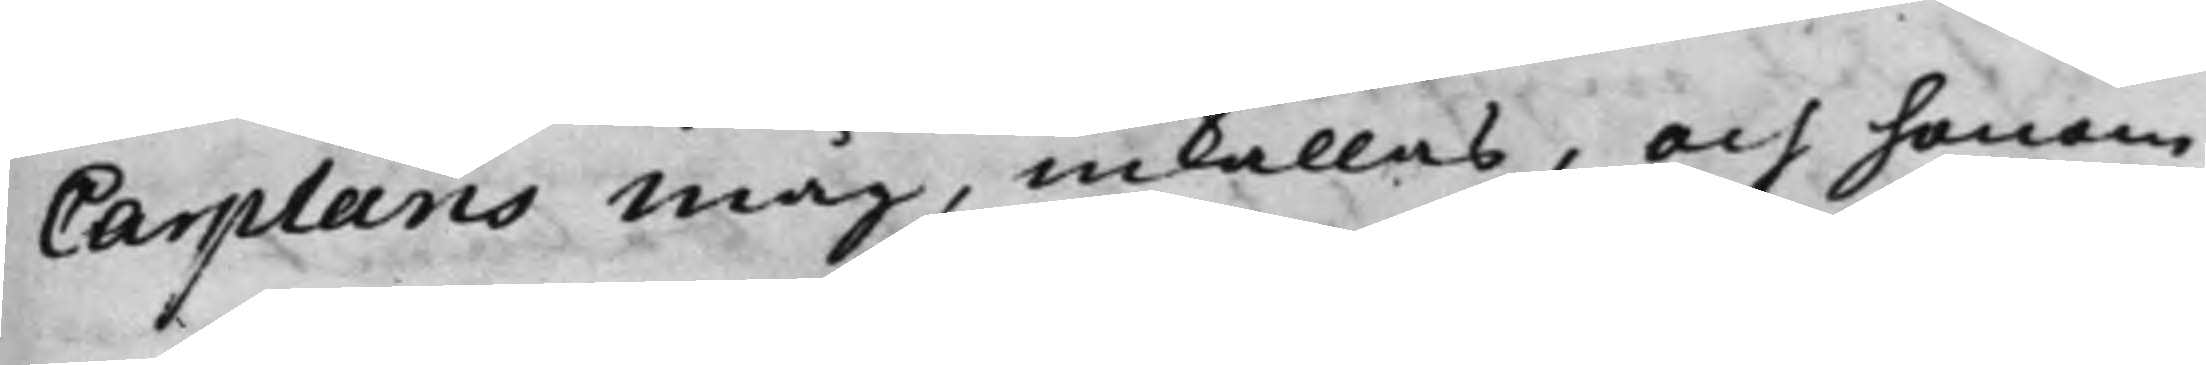Carplans måg, inkallas, och honom
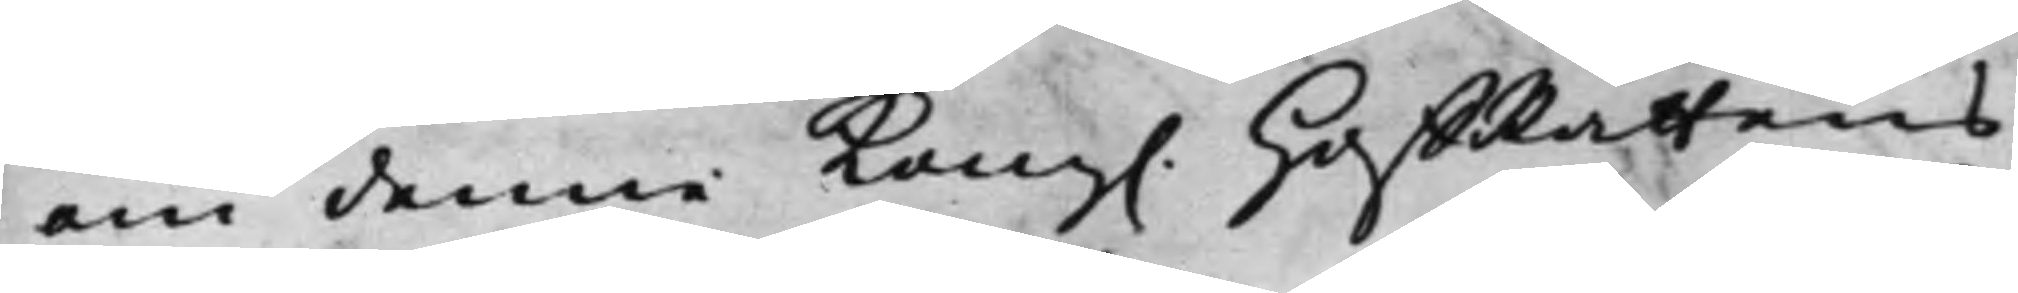om denne Kong. HoffRättens
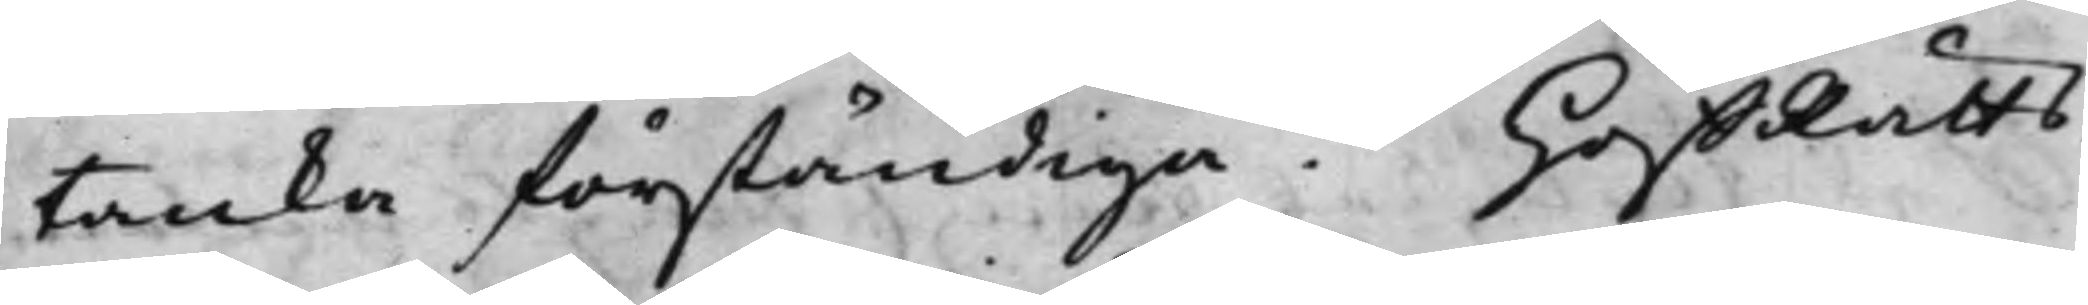tanka förständiga. HoffRätts¬
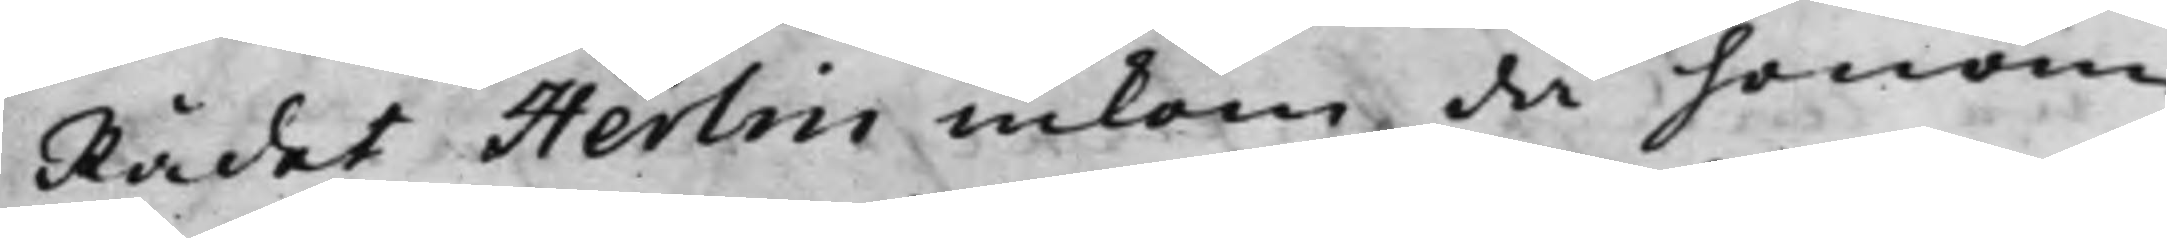Rådet Herlin inkom då honom
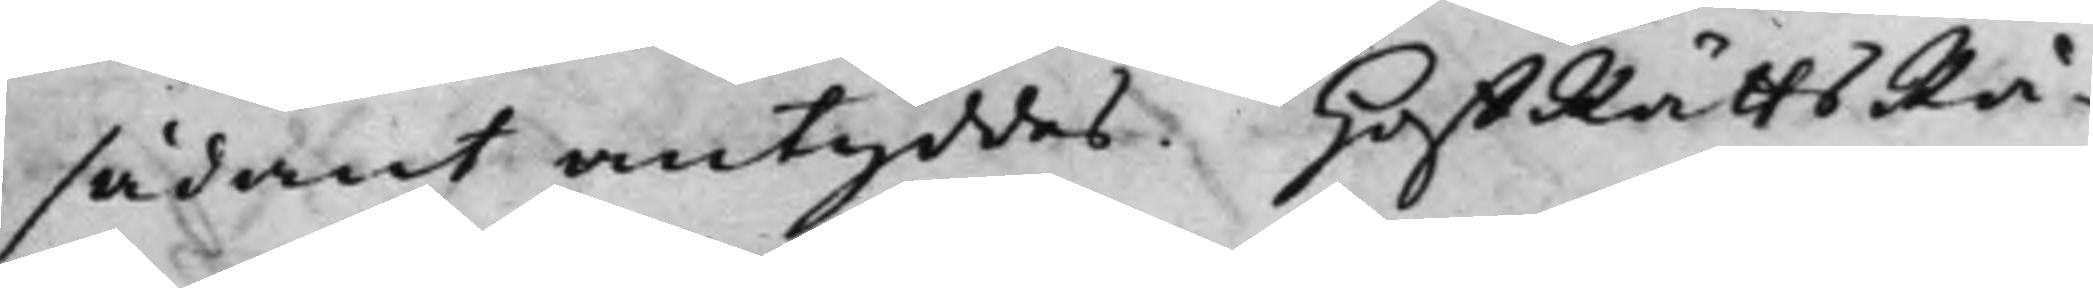sådant antyddes. HoffRättsRå¬
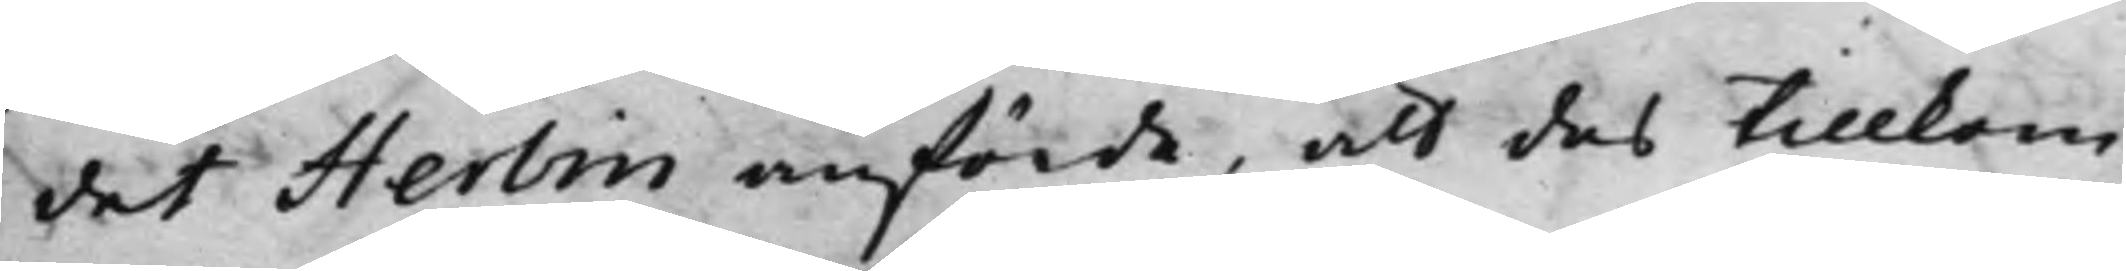det Herlin anförde, att des tillkom¬
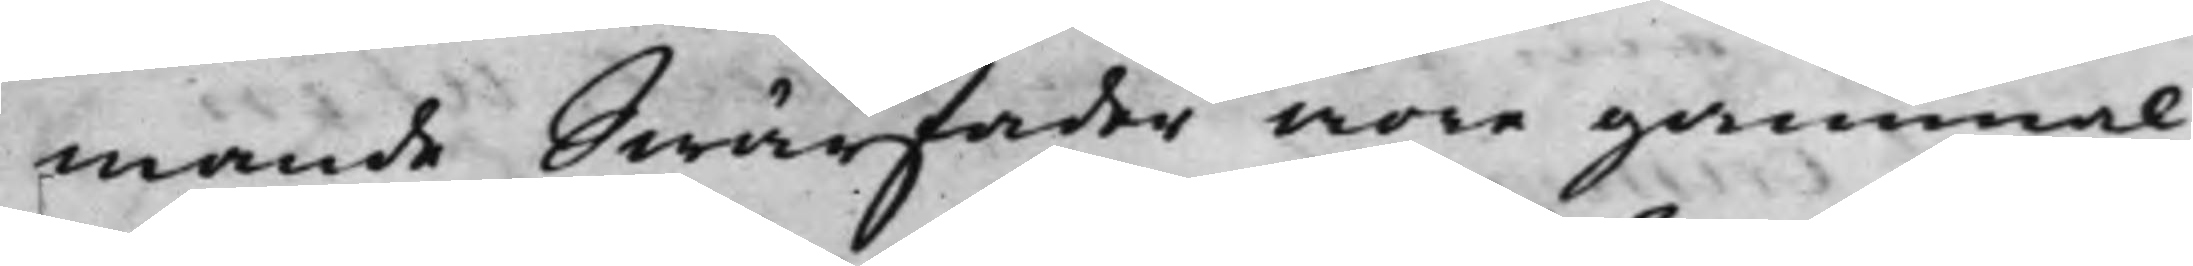mande Swärfader wore gammal,
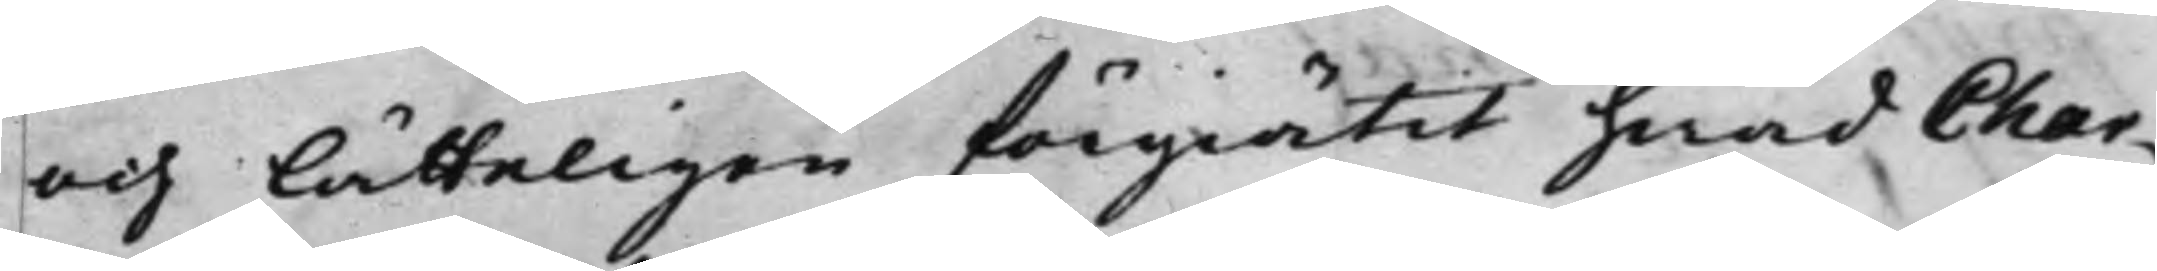och lätteligen förgiätit hwad Char¬
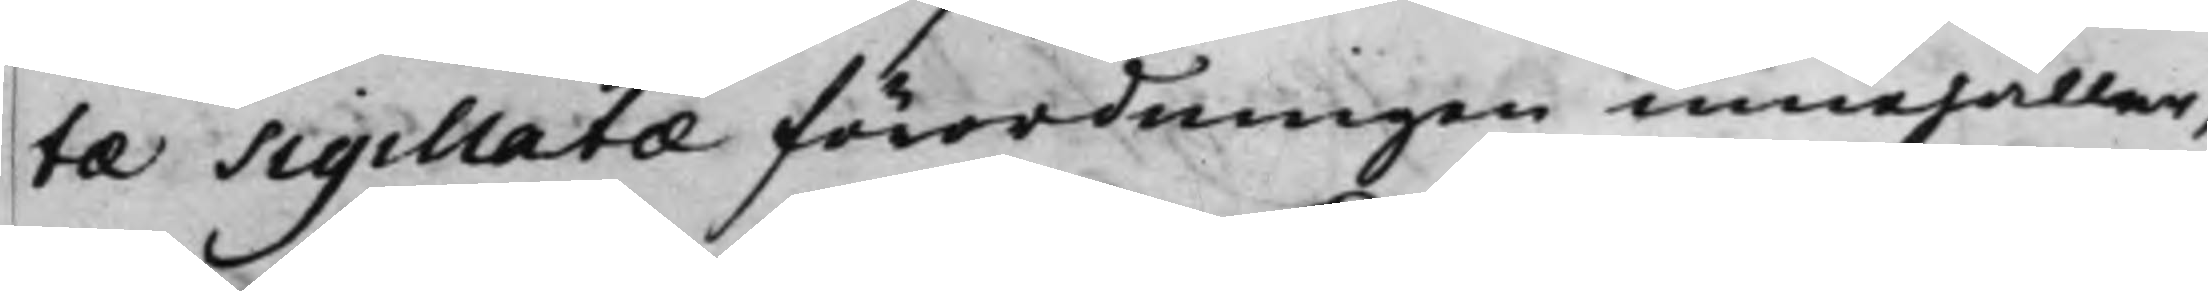te Sigillatae förordningen innehåller,
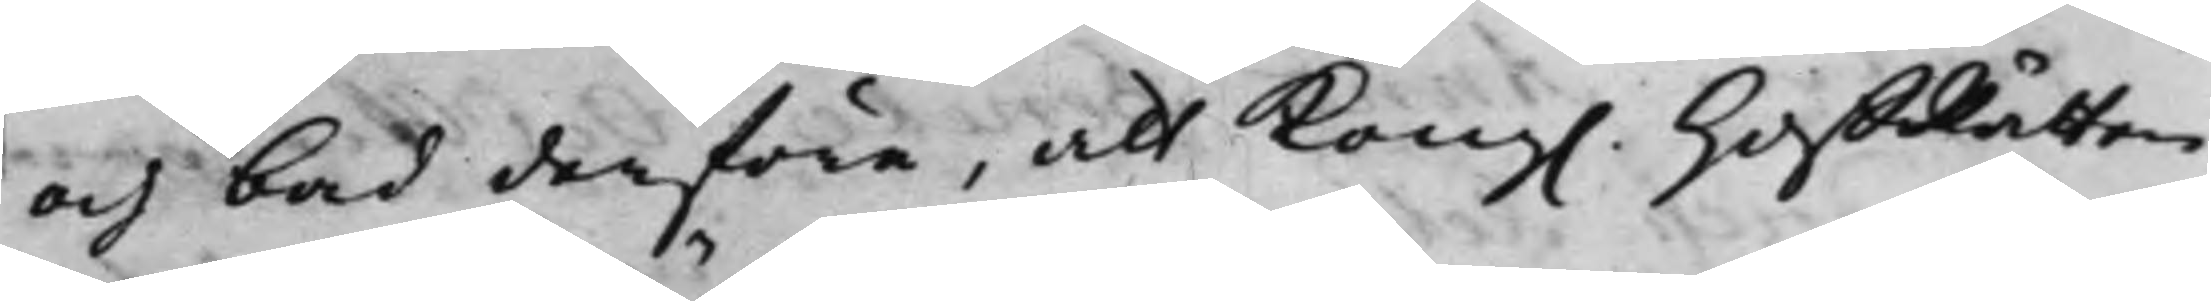och bad derföre, att Kong. HoffRätten
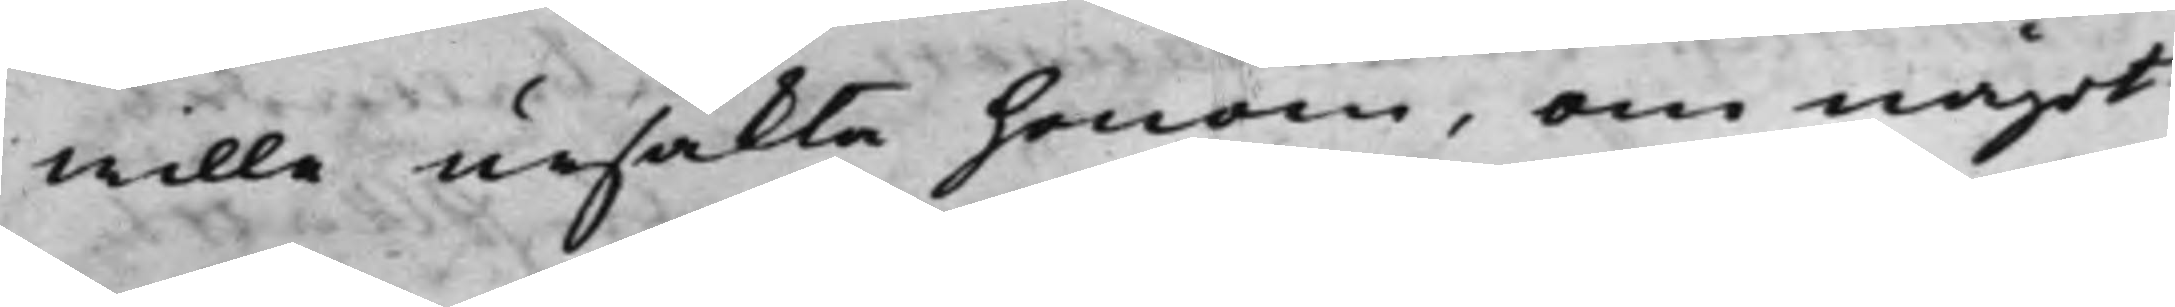wille ursäkta honom, om något
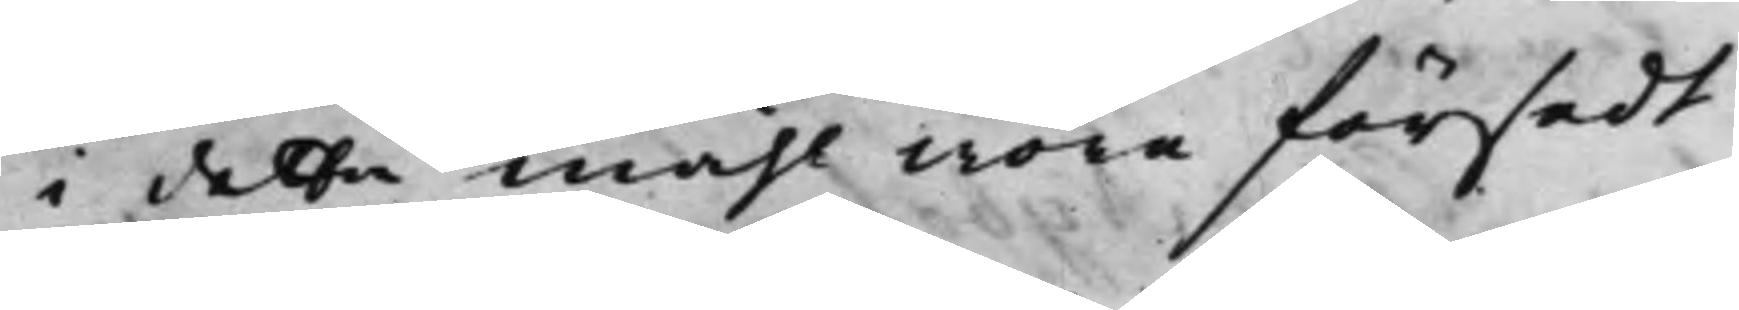i detta måhl wore försedt.
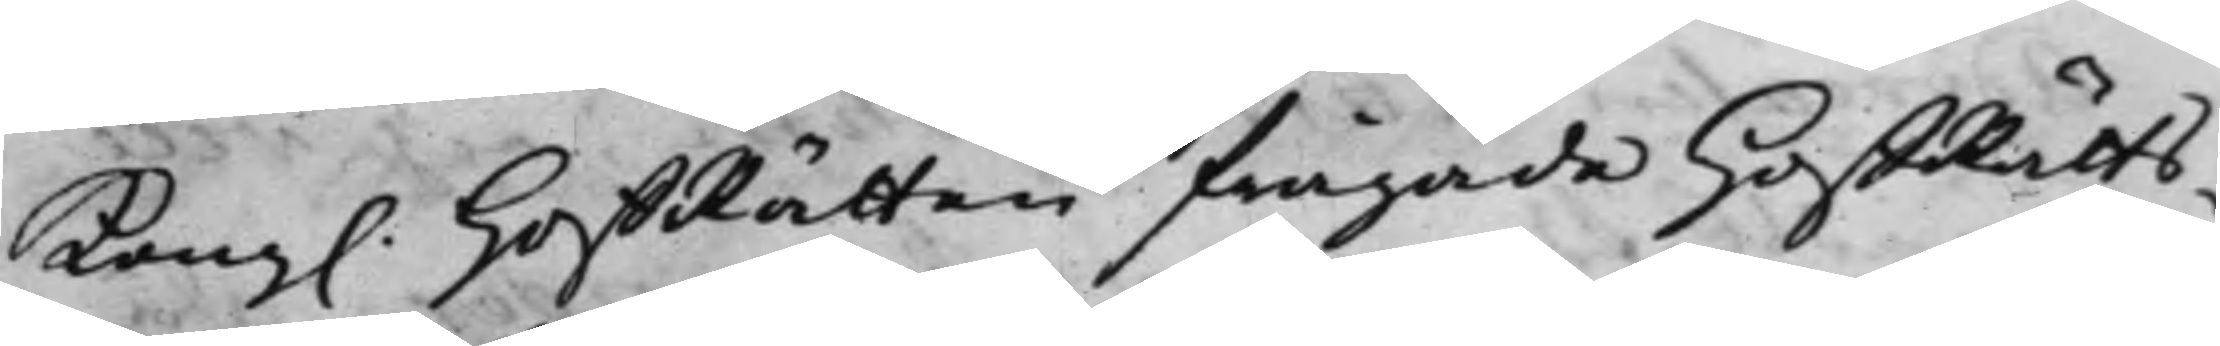Kongl. HoffRätten frågade HoffRätts¬
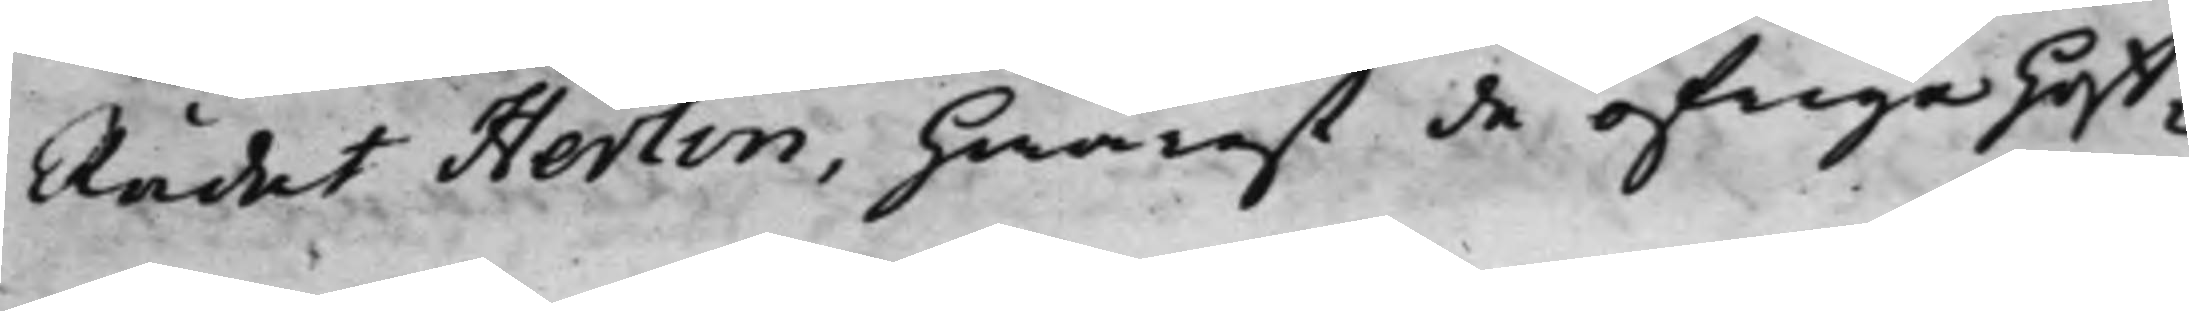Rådet Herlin, hwarest de öfrige Hoff¬
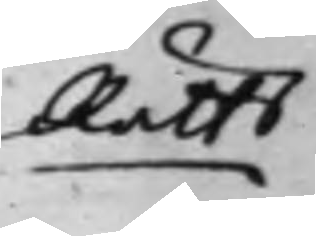Rätts
